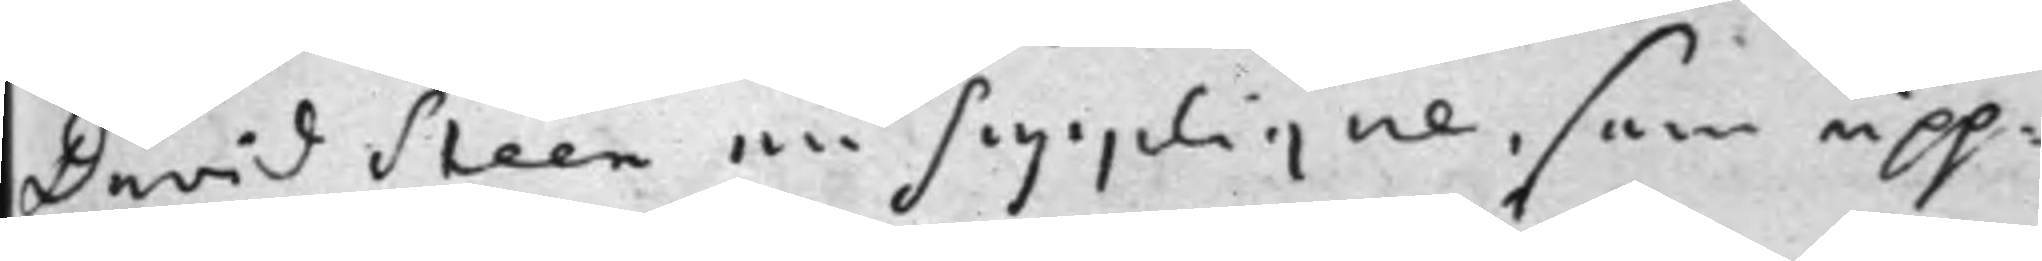David Steen en Supplique, som upp¬
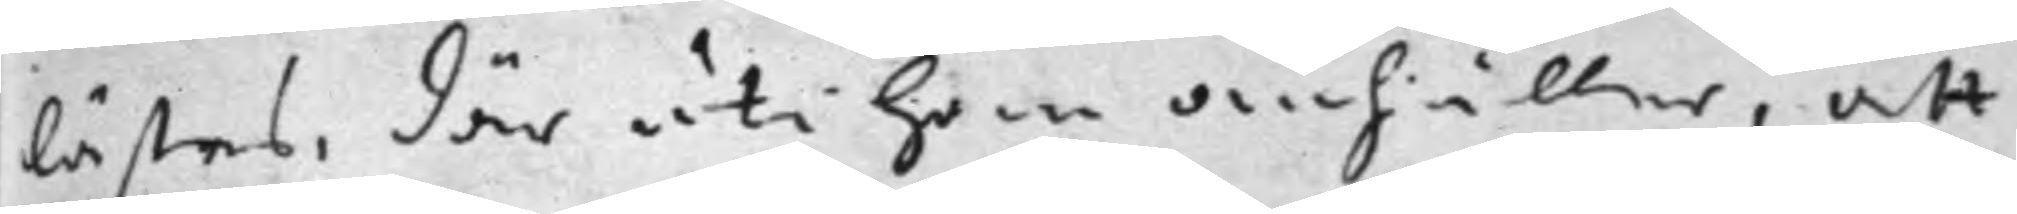lästes, där uti han anhåller, att
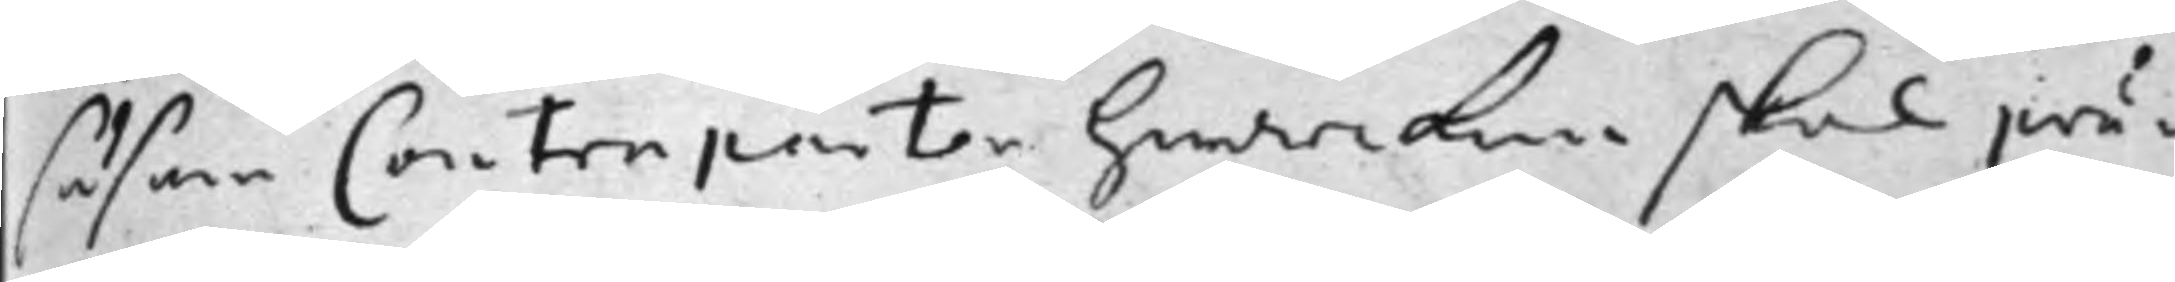såsom Contraparten hwarcken skal prä¬
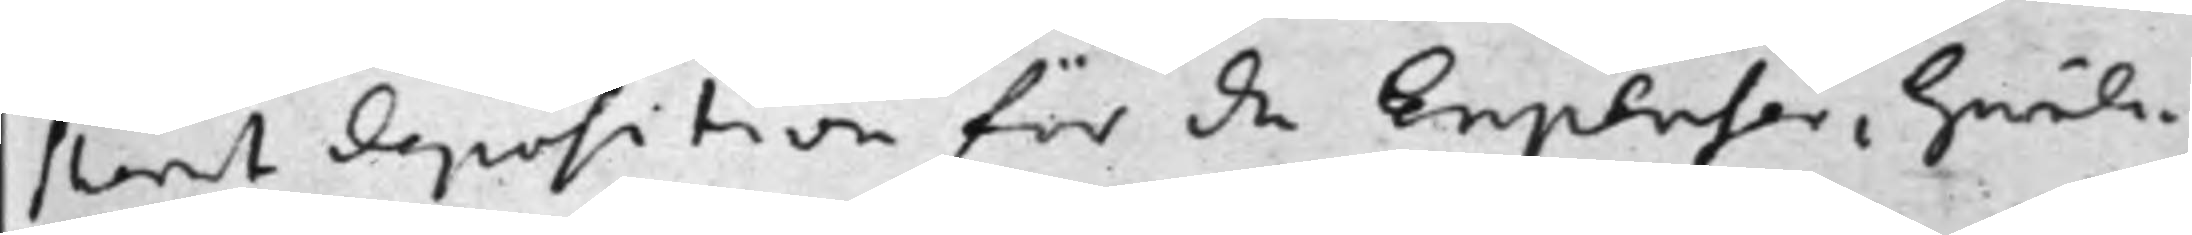sterat deposition för de Expenser, hwil¬
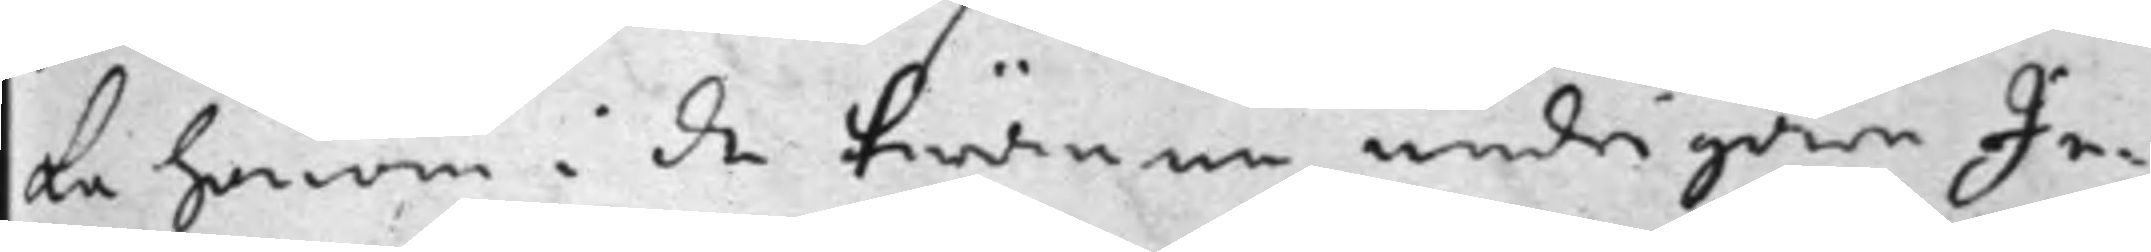ka honom i de twänne undrigare Ju¬
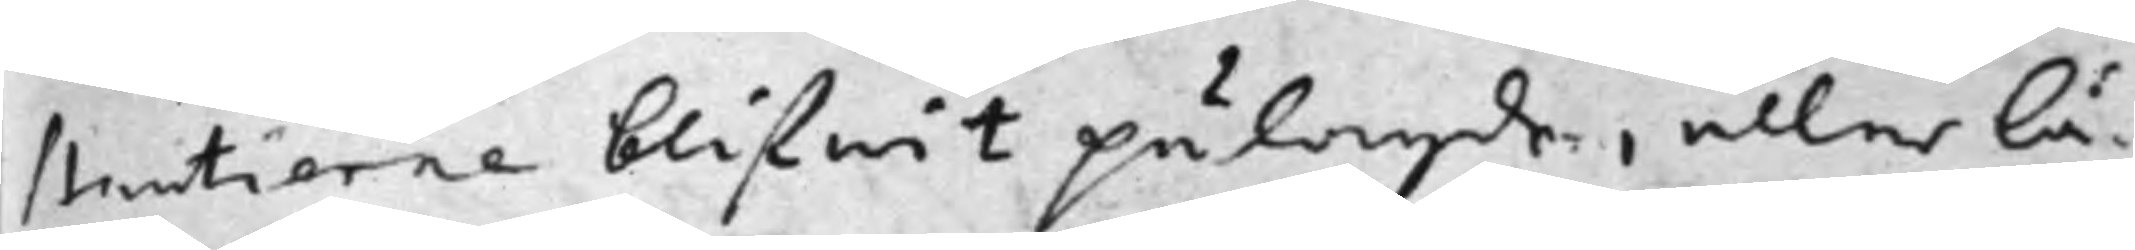stitierne blifwit pålagde, eller lå¬
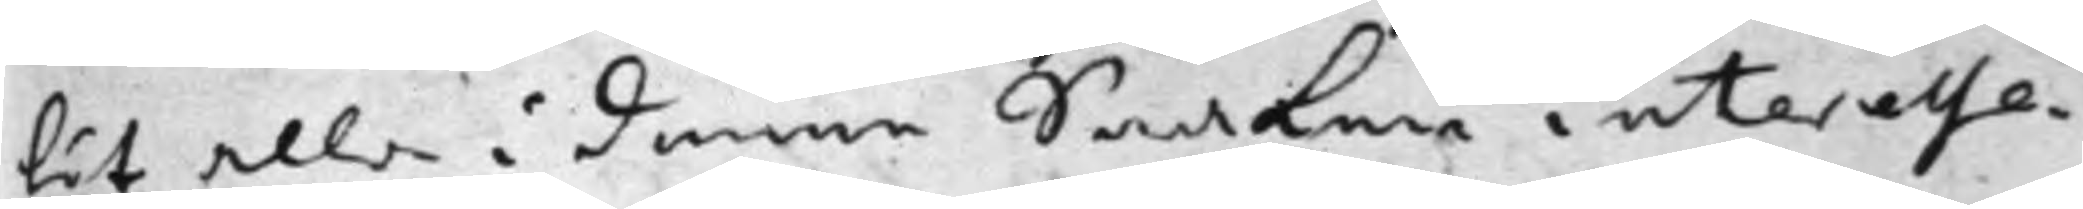tit alla i denne Saaken interesse¬
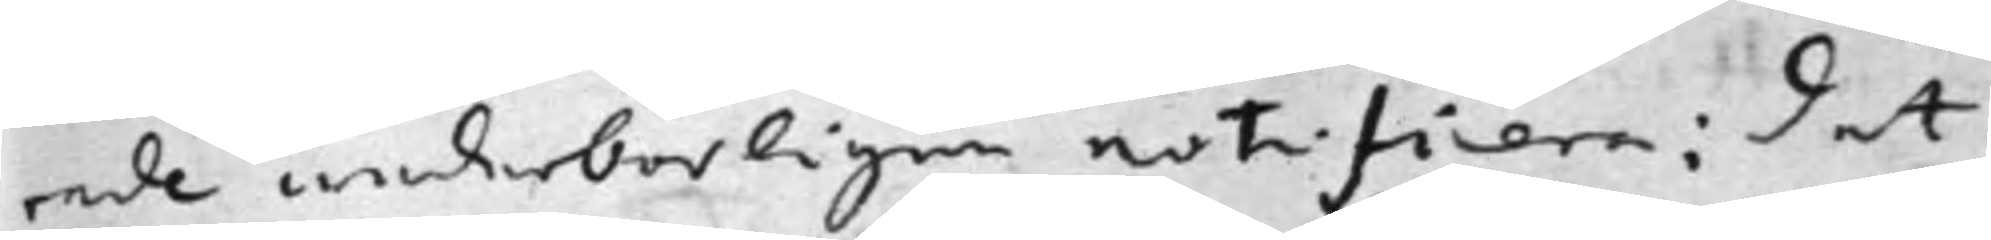rade wederbörligen notifcera: det
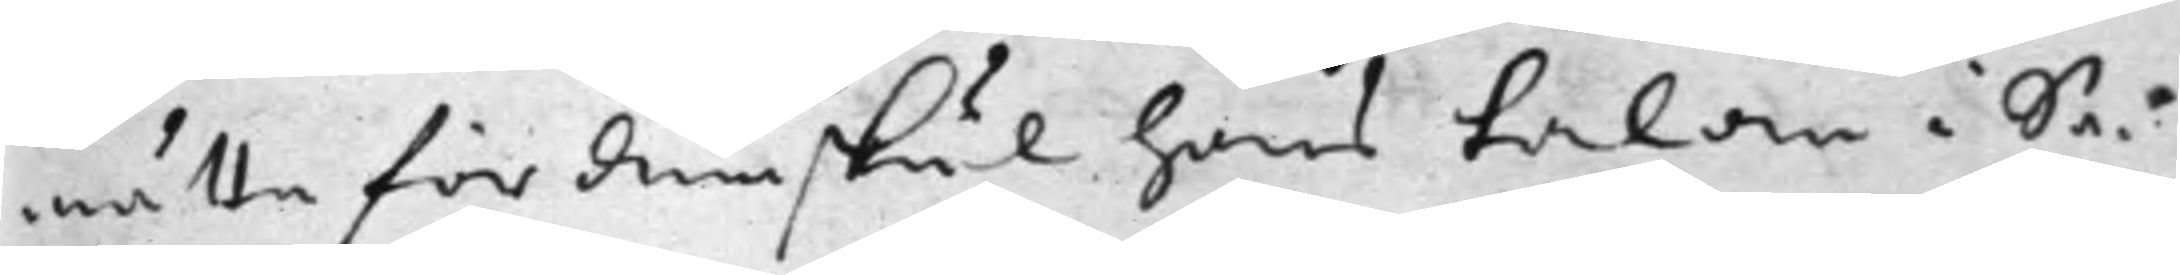måtte för den skul hans talan i Sa¬
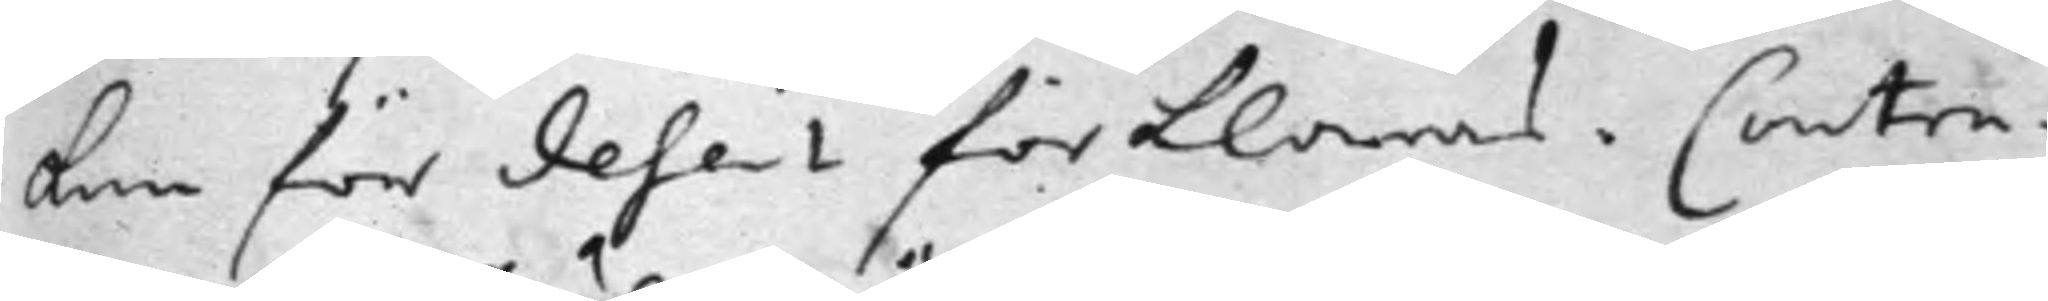ken för desert förklaras. Contra¬
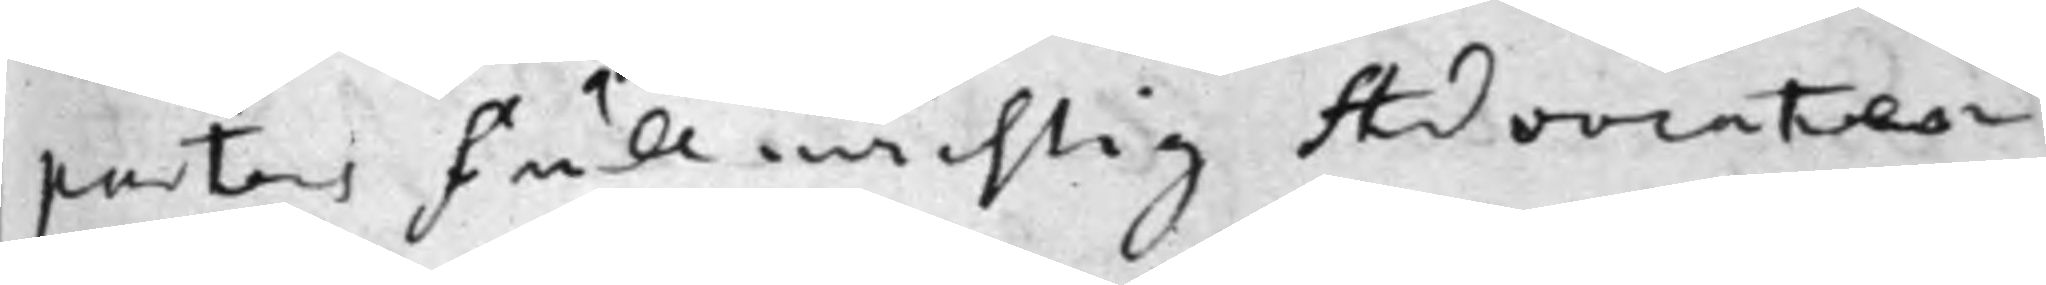partens Fullmächtig Advocaten
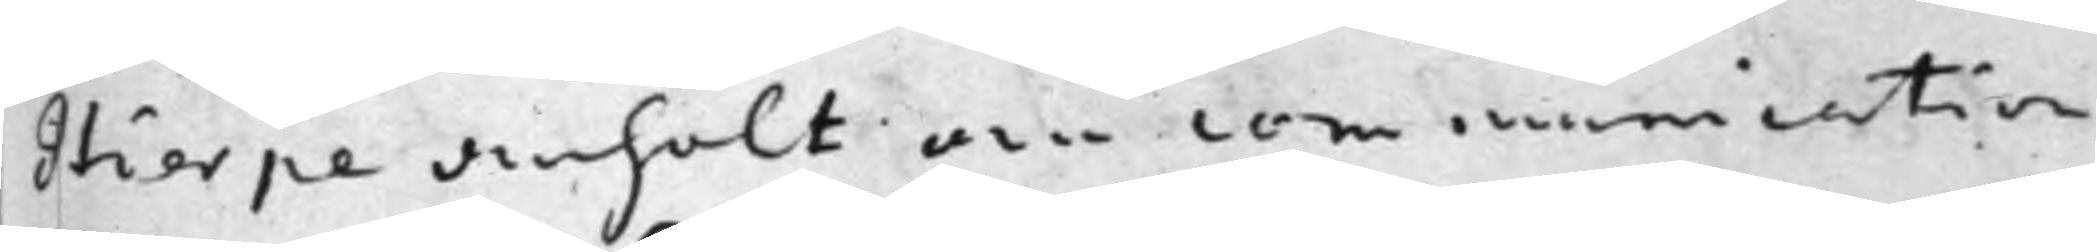Hierpe anhölt om communication
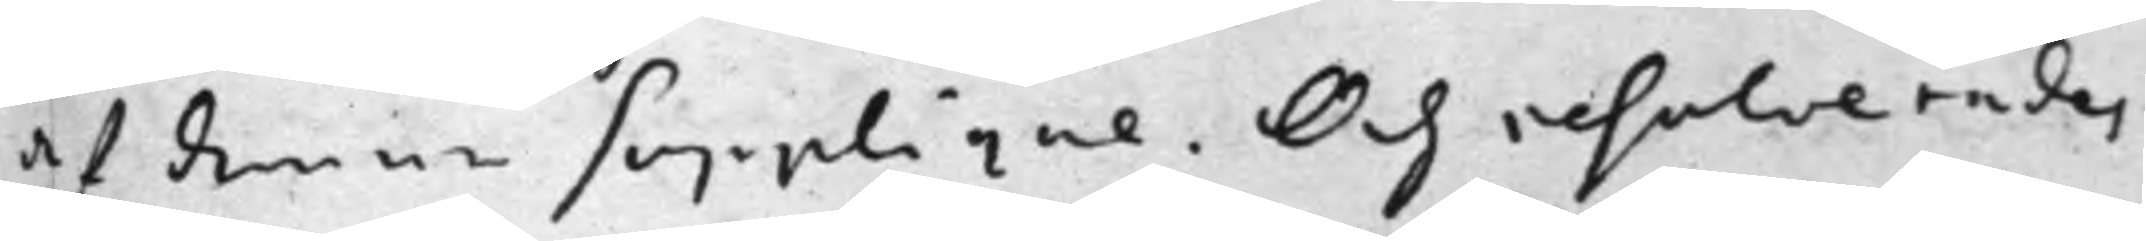af denne Supplique. Och resolverades
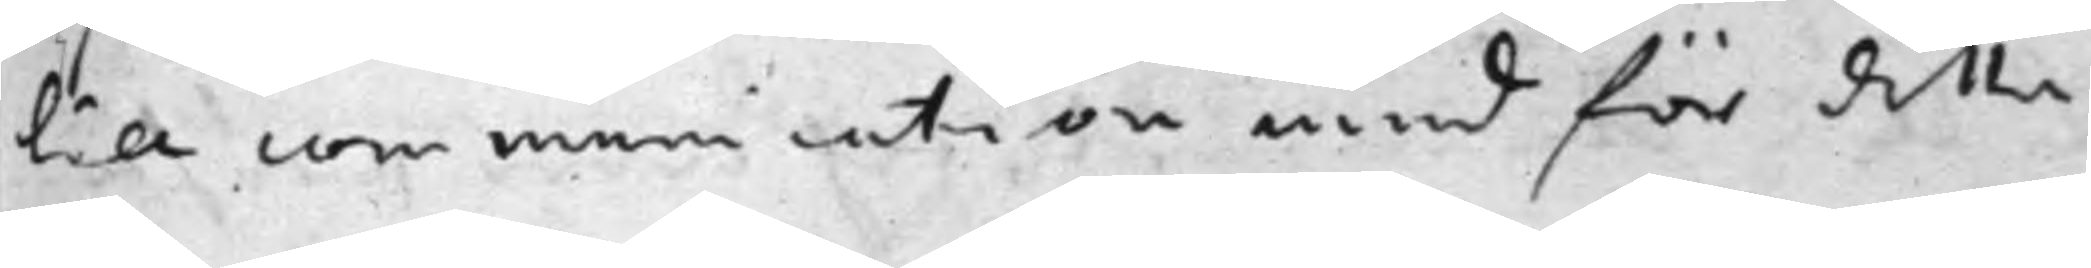till communication med för detta
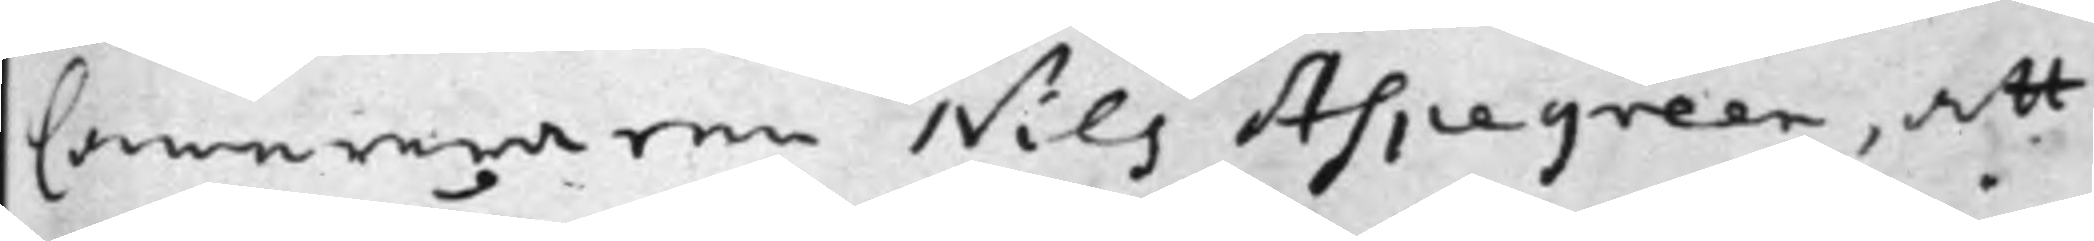Camereraren Nils Aspegreen, att
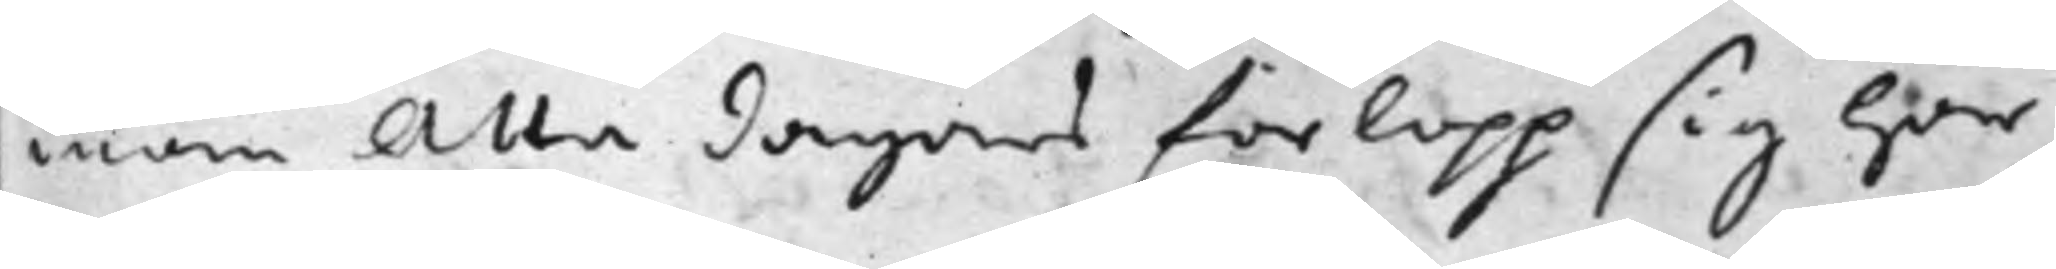inom Åtta dagars förlopp sig Här
